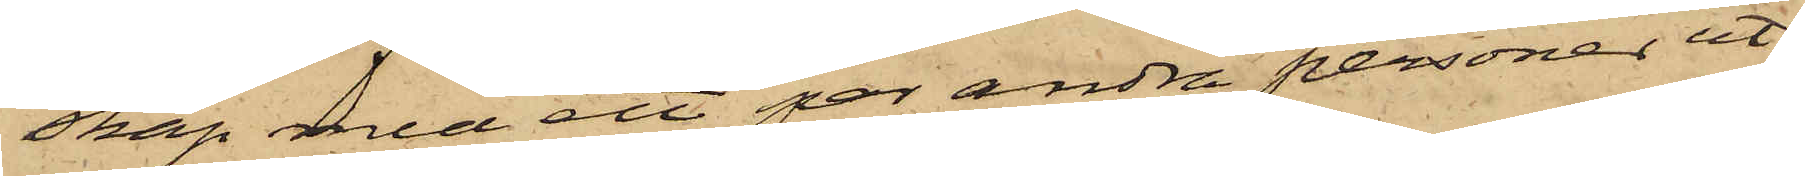skap med ett par andra personer ut¬
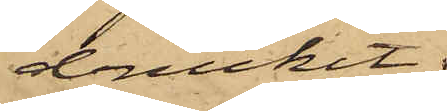druckit;
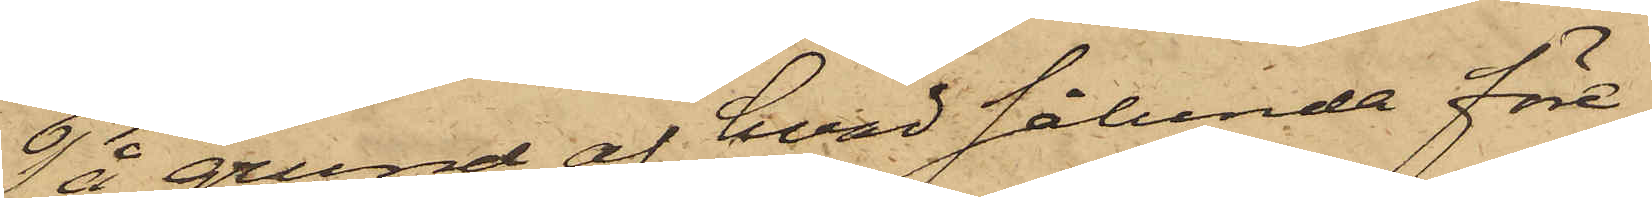På grund af hvad sålunda före¬
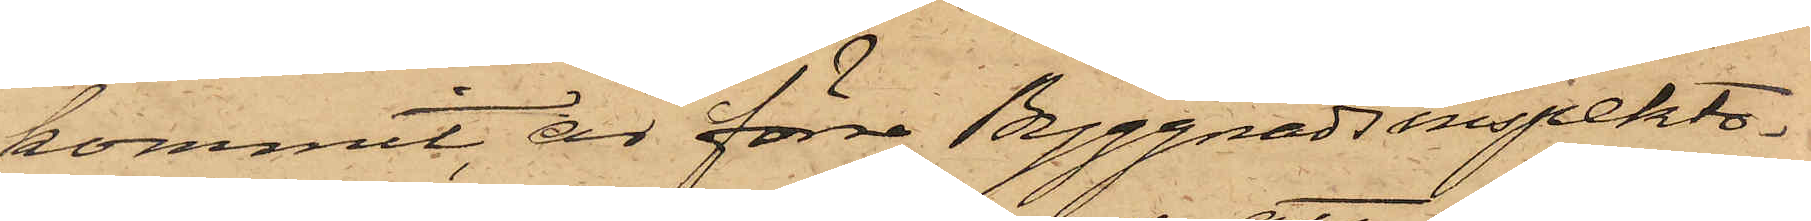kommit, är förre Byggnadsinspekto¬
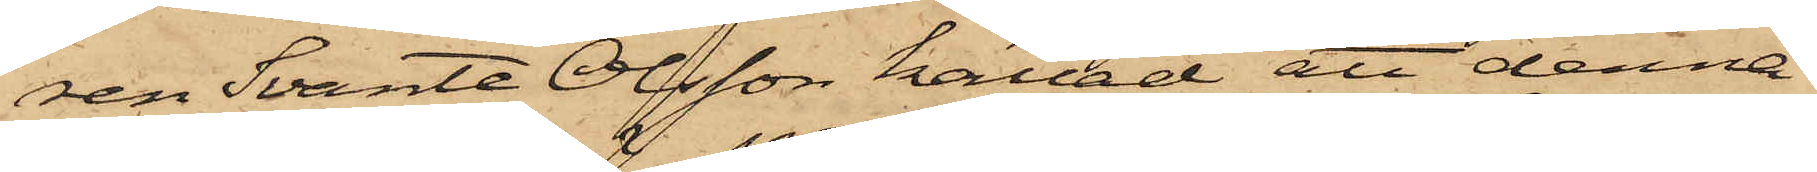ren Svante Olsson kallad att denna
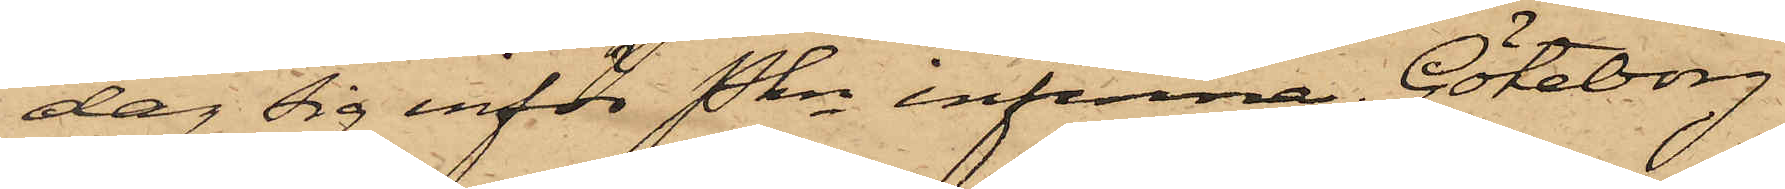dag sig inför Pkn infinna. Göteborg
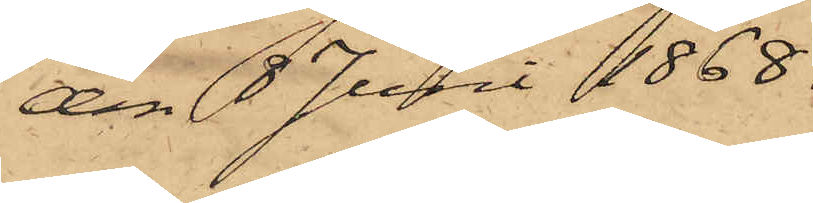den 8 Juni 1868.
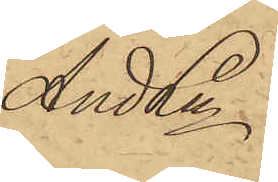And Ln
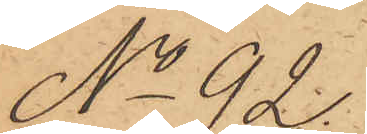No 92.
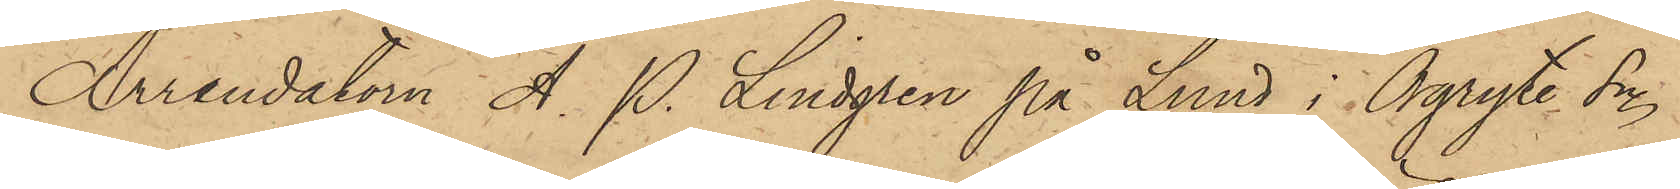Arrendatorn A. P. Lindgren på Lund i Örgryte Sn,
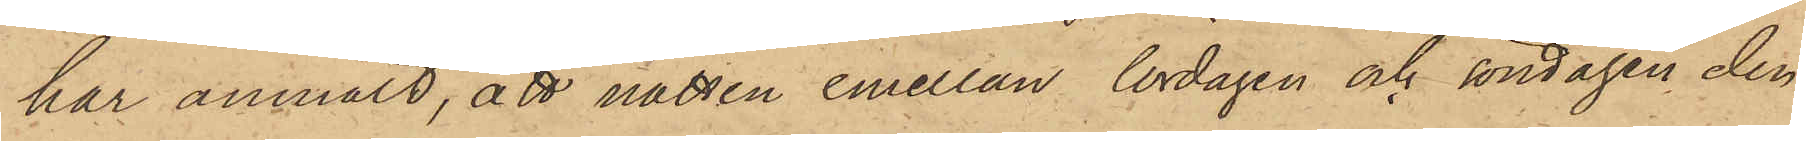har anmält, att natten emellan lördagen och söndagen den
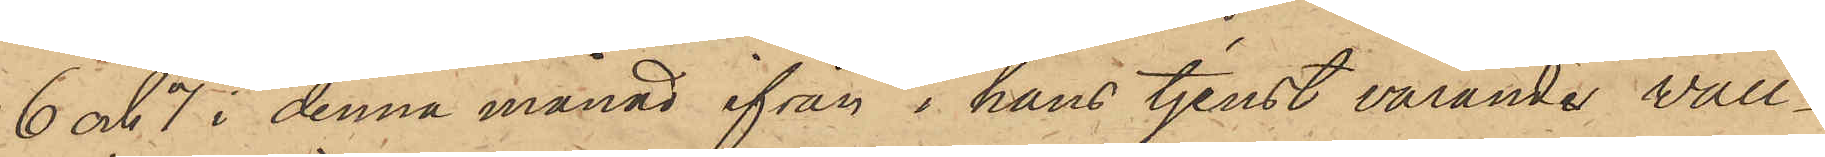6 och 7 i denna månad ifrån i hans tjenst varande Wall¬
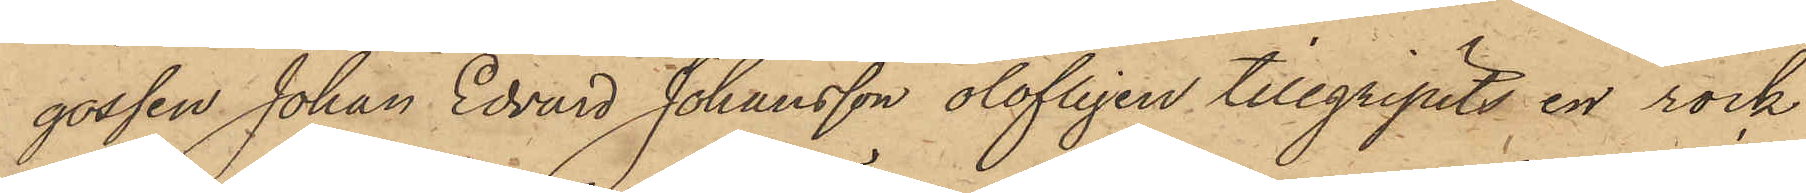gossen Johan Edvard Johansson olofligen tillgripits en rock
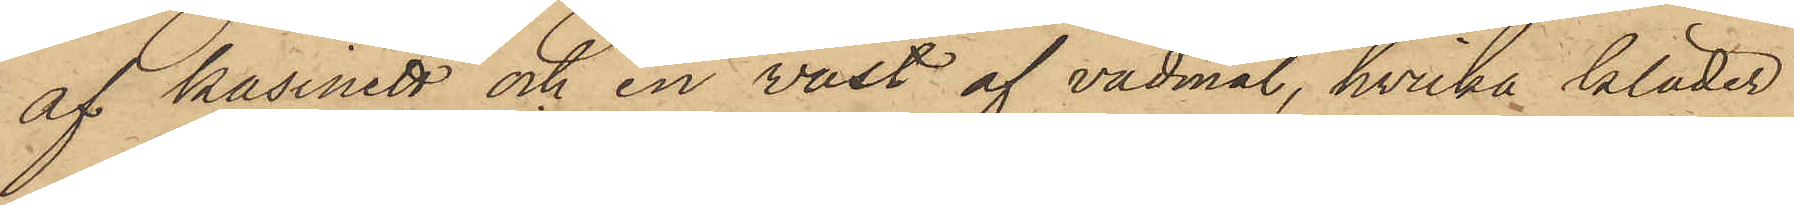af kasinett och en väst af vadmal, hvilka kläder
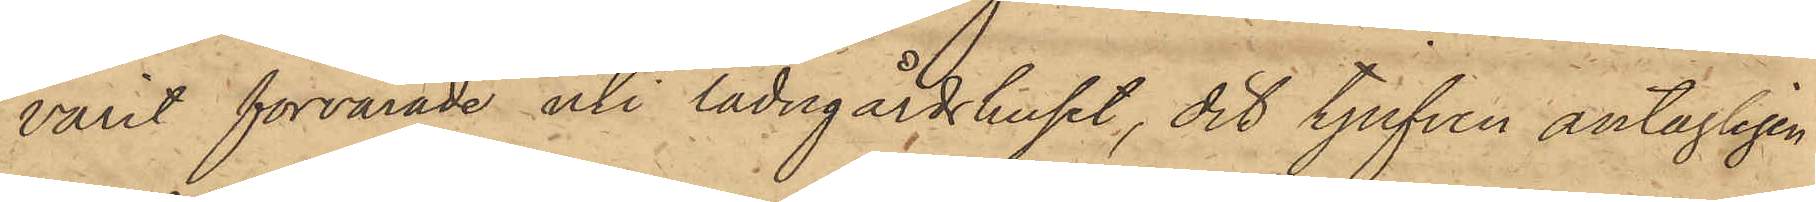varit förvarade uti ladugårdshuset, dit tjufven antagligen
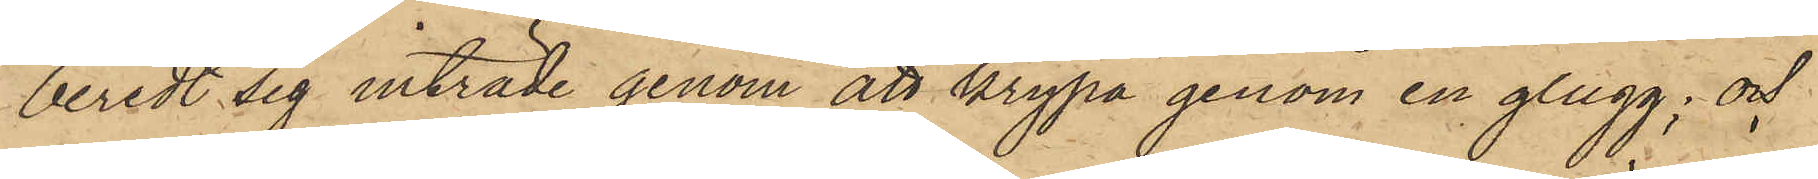beredt sig inträde genom att krypa genom en glugg; och
